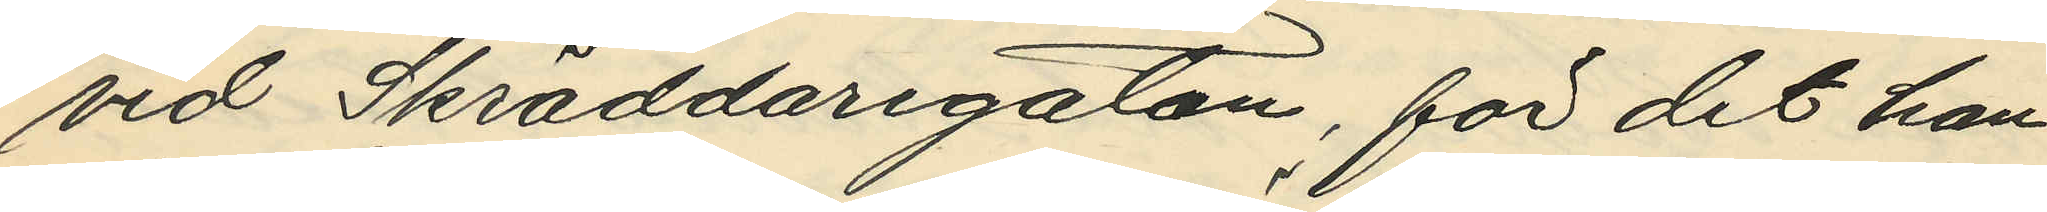vid Skräddaregatan, för det han
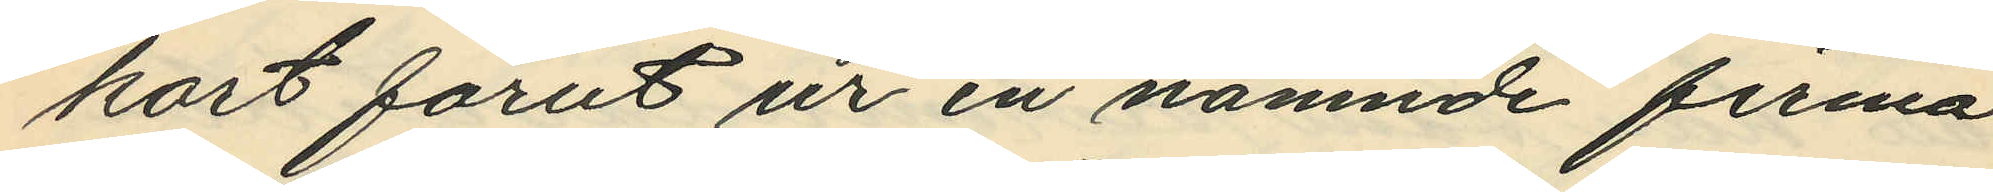kort förut ur en nämnde firma
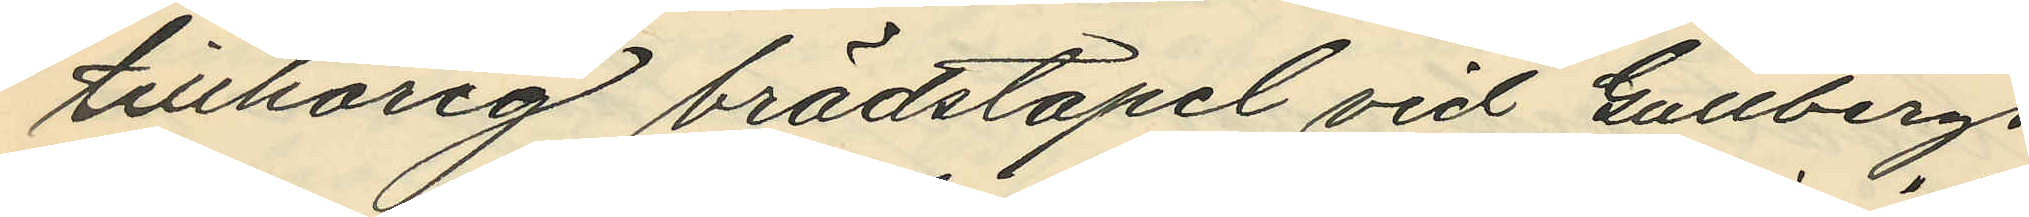tillhörig brädstapel vid Gullbergs
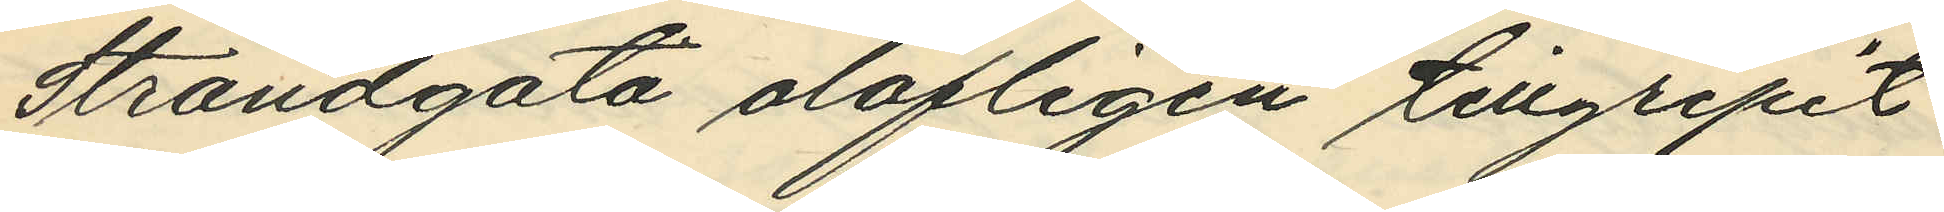Strandgata olofligen tillgripit
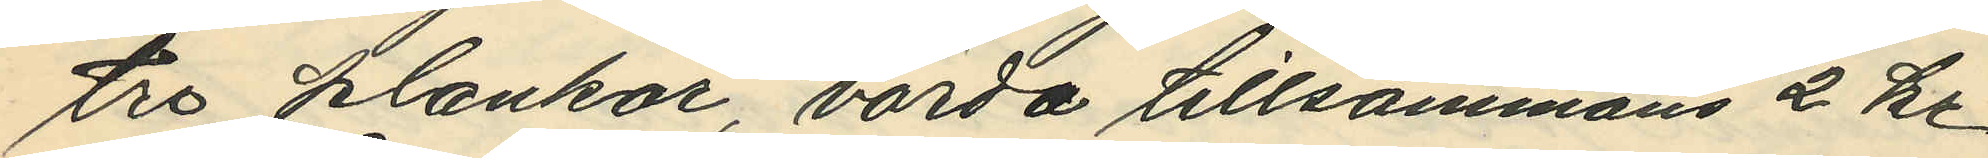tre plankor, värda tillsammans 2 kr.
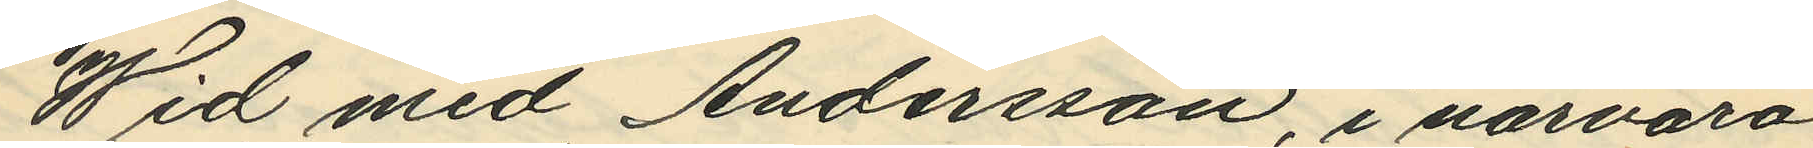Wid med Andersson, i närvaro
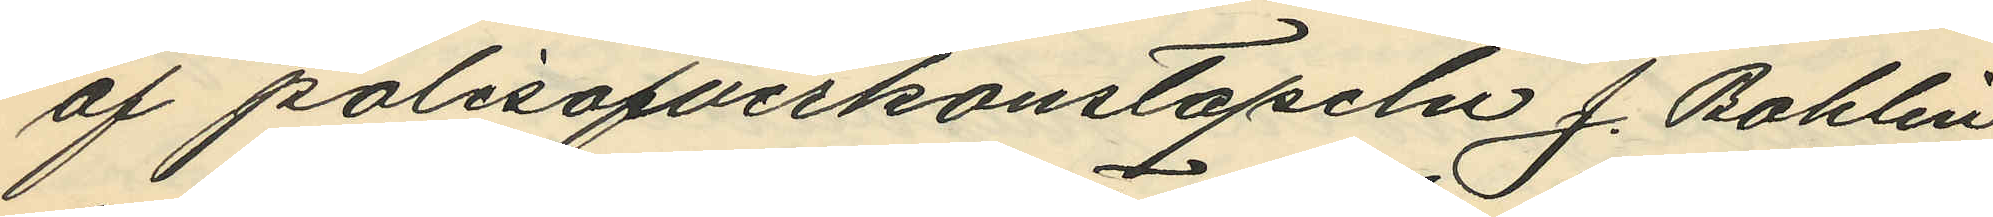af polisöfverkonstapeln J. Bohlin
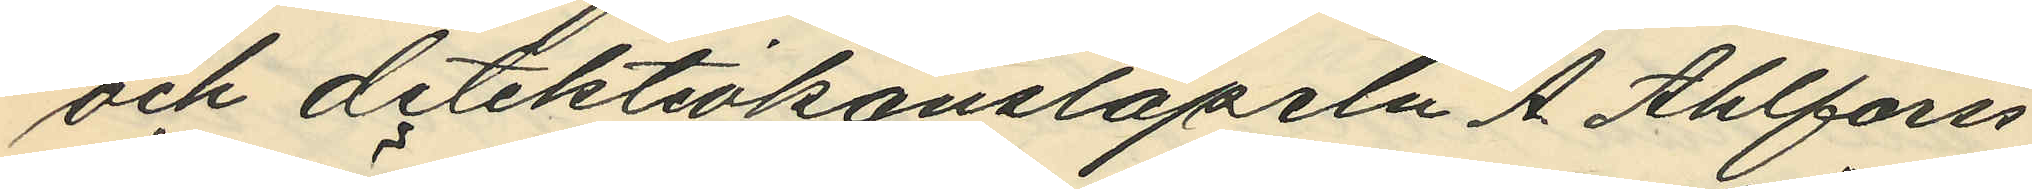och detektivkonstapeln A. Ahlforss
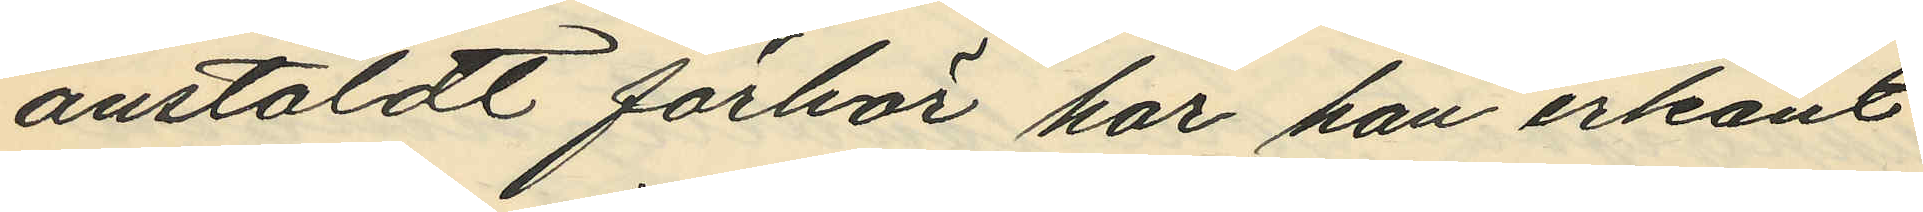anstäldt förhör har han erkänt
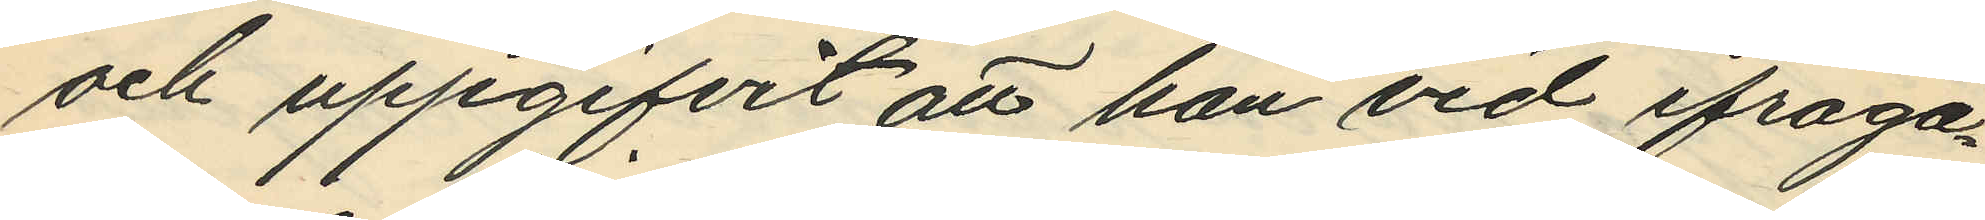och uppgifvit att han vid ifråga¬
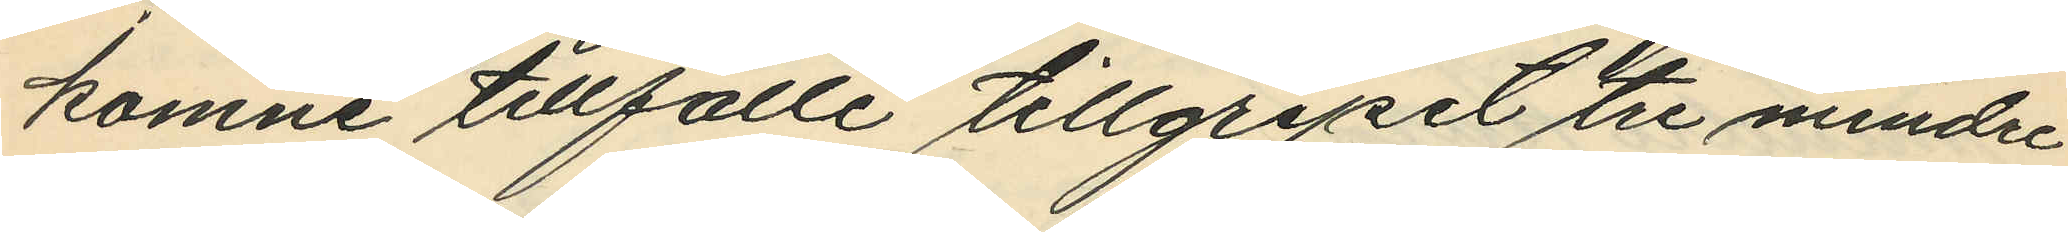komne tillfälle tillgripit tre mindre
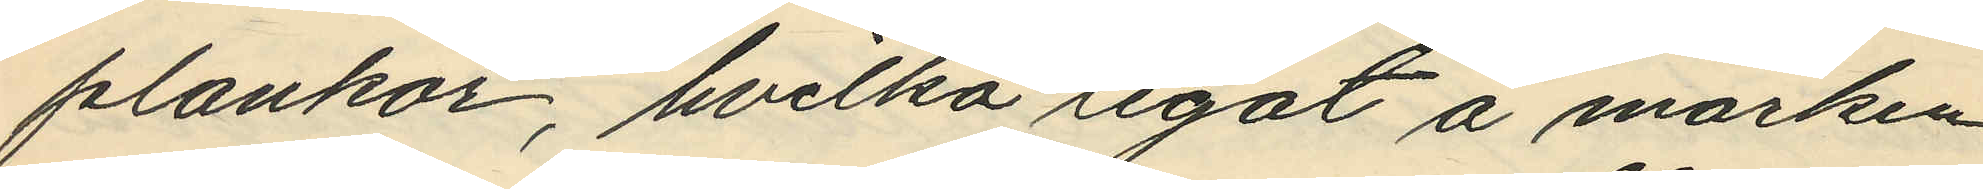plankor, hvilka legat å marken
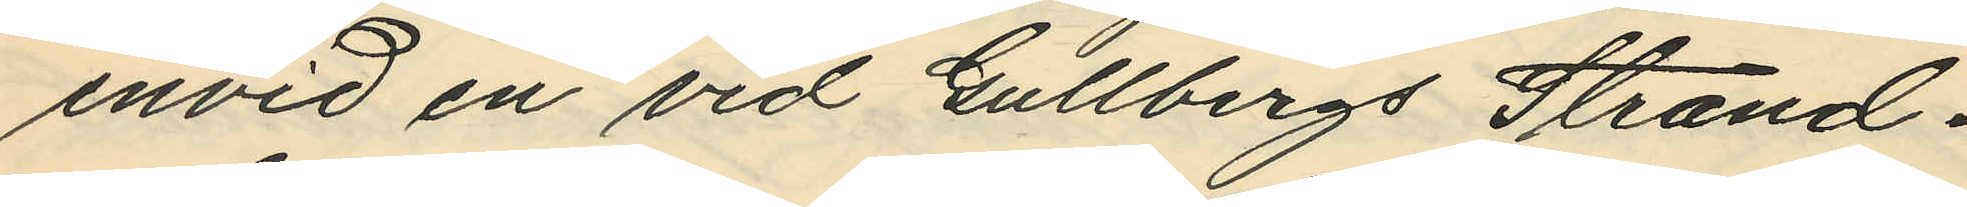invid en vid Gullbergs Strand¬
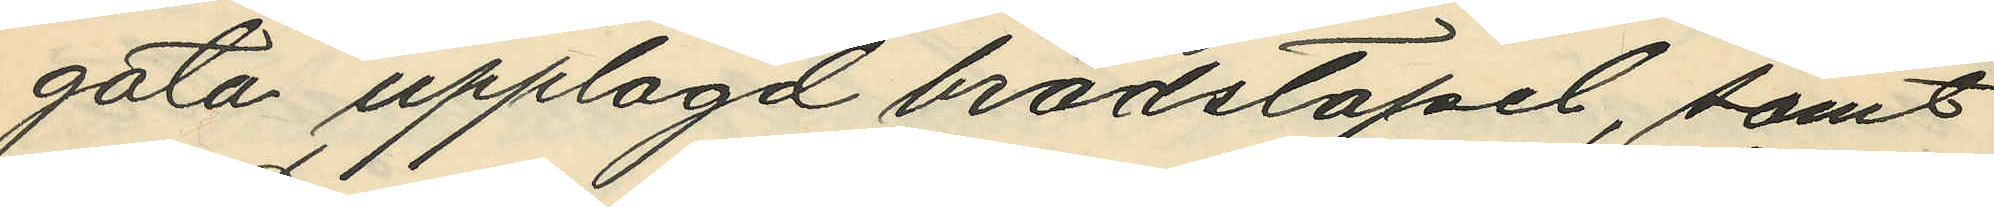gata upplagd brädstapel, samt
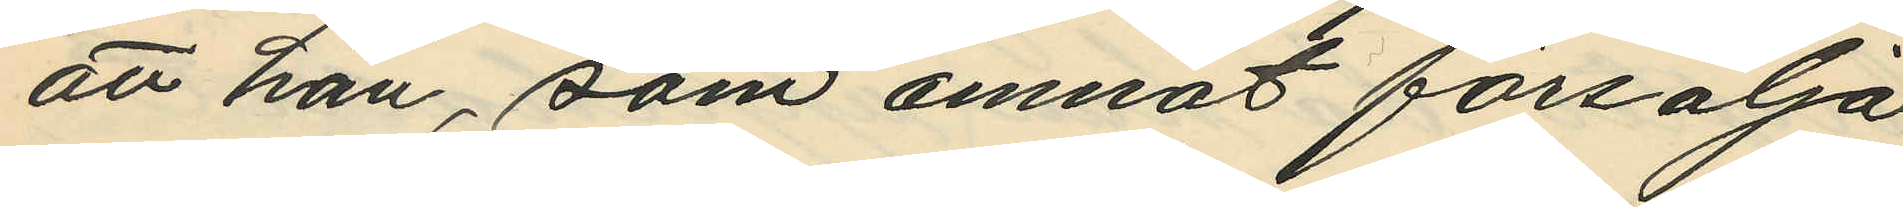att han, som amnat försälja
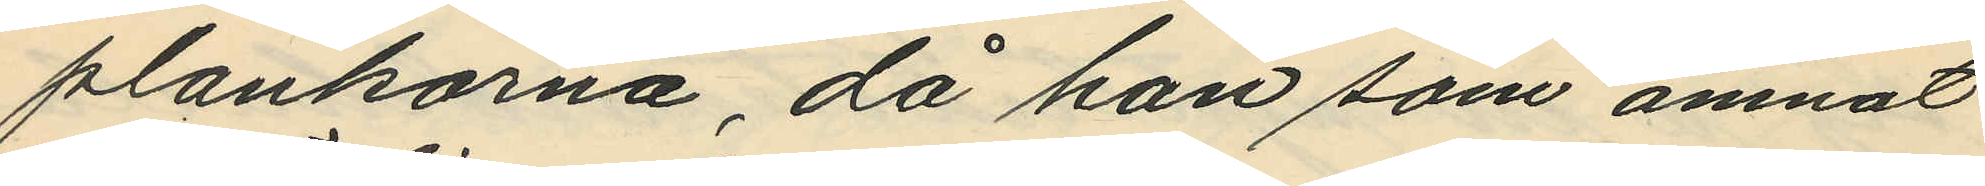plankorna, då han som ämnat
